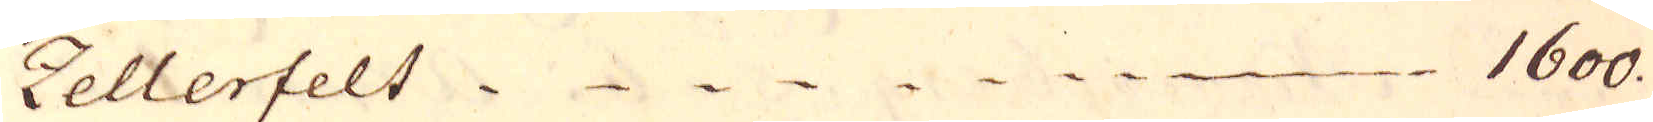Zellerfelt 1600.
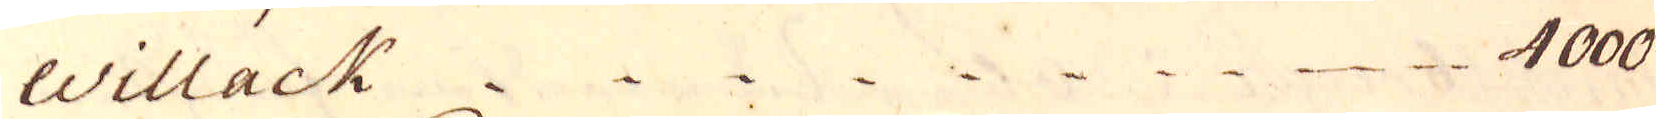Willack 4000
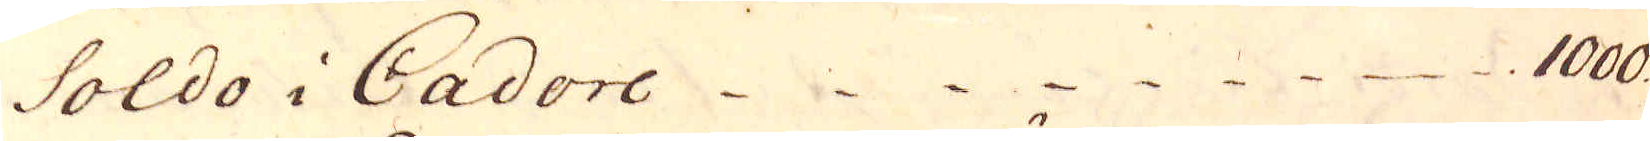Soldo i Cadore 1000.
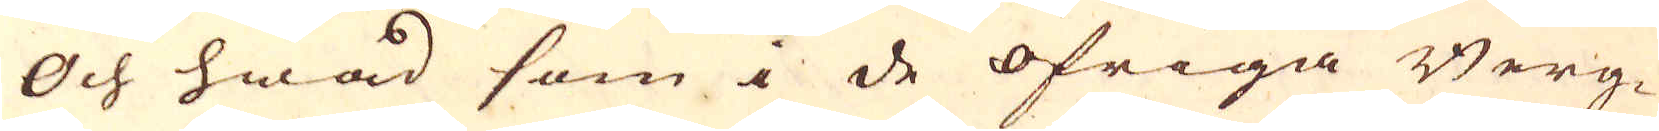Och hwad som i de öfriga Berg-
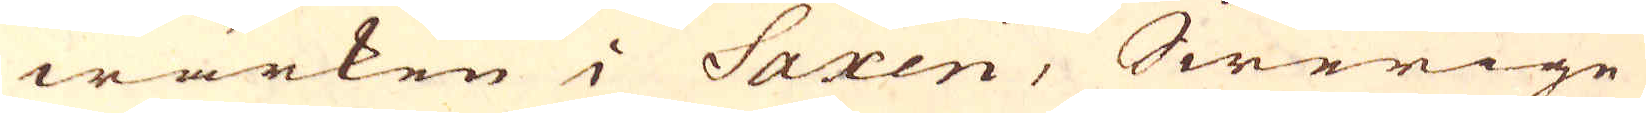wärken i Saxen, Swerige
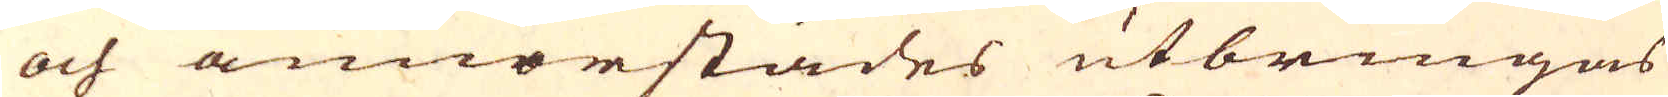och annorstädes utbringas
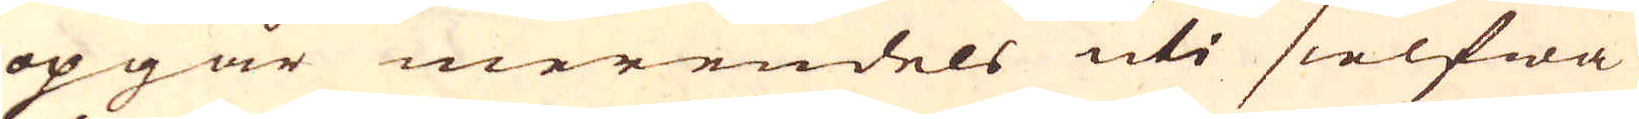opgår merendels uti sielfwa
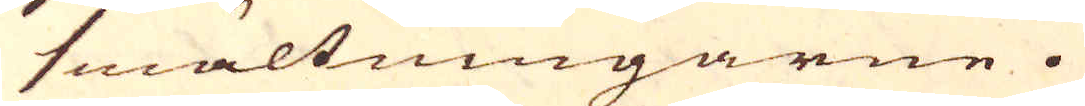smältningarne.
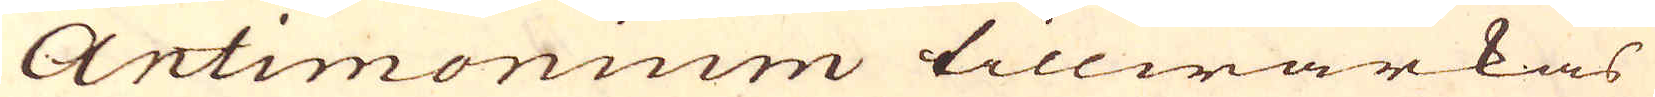Antimonium tillwärkas
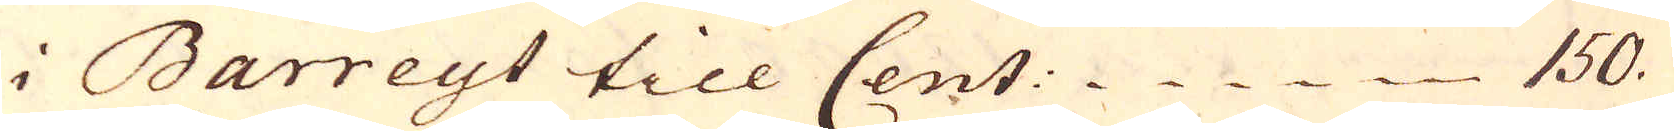i Barreyt till Cent: 150.
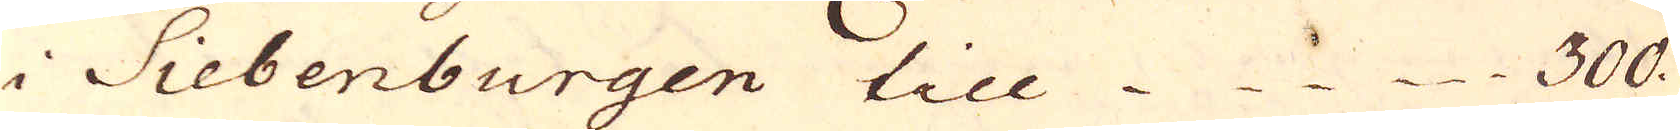i Siebenburgen till 300.
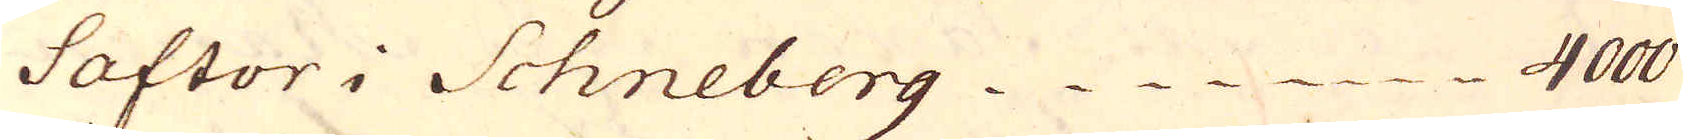Saftor i Schneberg 4000
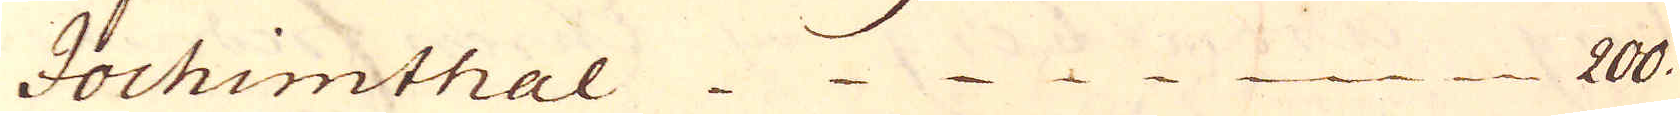Jochimthal 200.
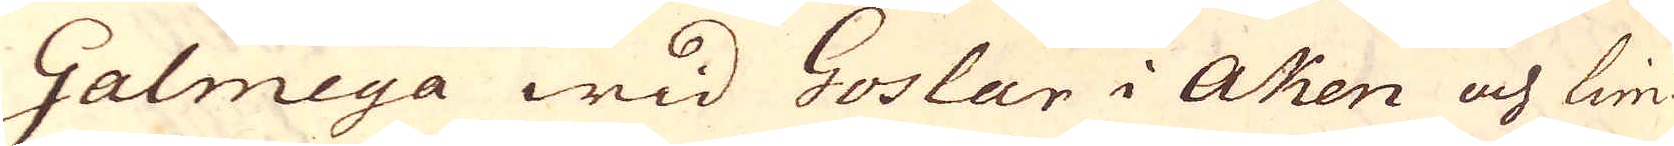Galmeya wid Goslar i Aken och Lim-
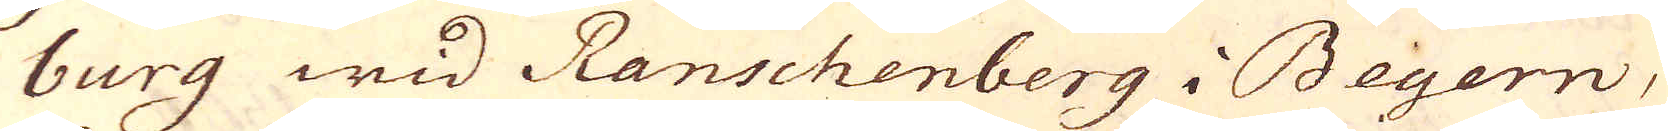burg wid Ranschenberg i Beyern,
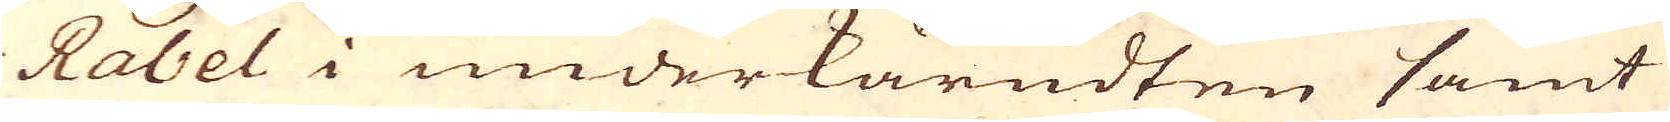Rabel i underkärndten samt
